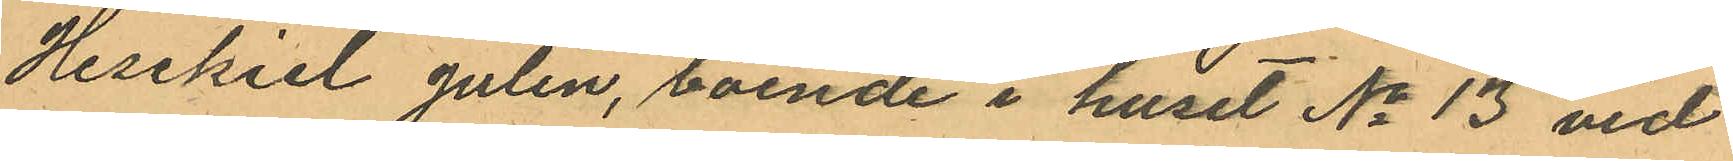Hesekiel Julin, boende i huset No 13 vid
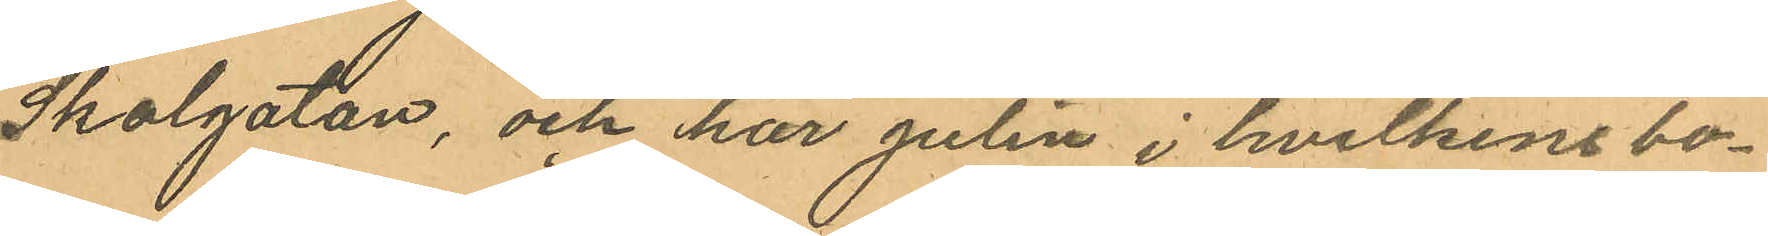Skolgatan, och har Julin i hvilkens bo¬
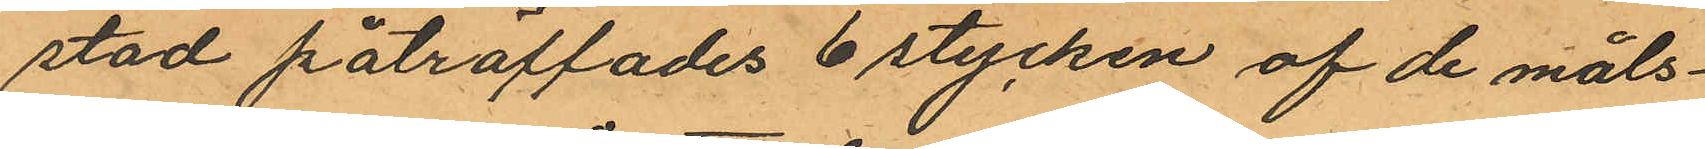stad påträffades 6 stycken af de måls¬
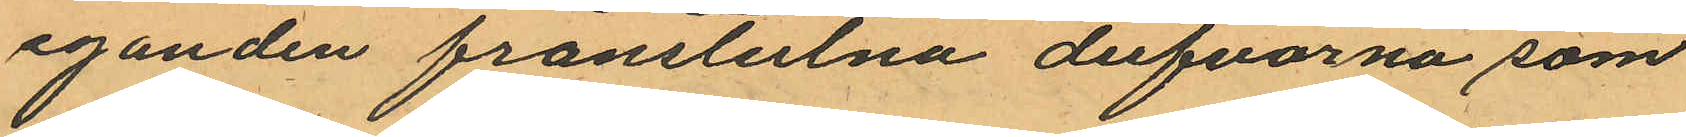eganden frånstulna dufvorna som
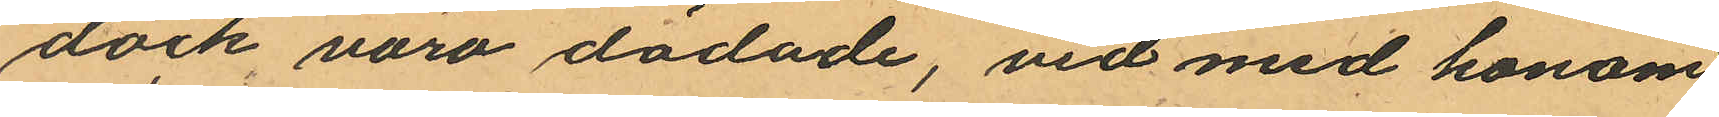dock voro dödade, vid med honom
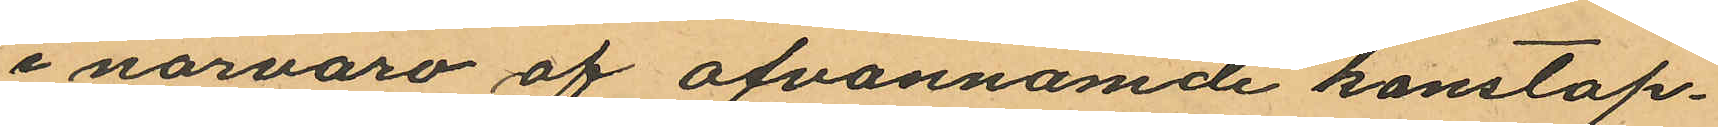i närvaro af ofvannämde konstap¬
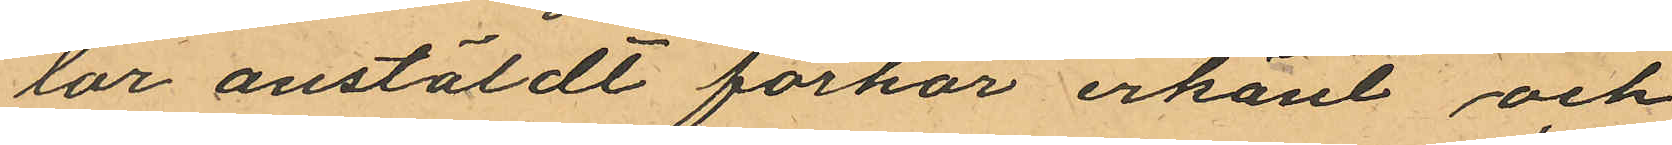lar anstäldt förhör erkänt och
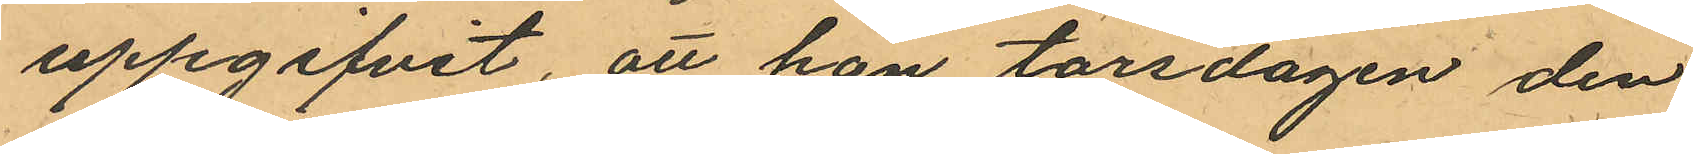uppgifvit, att han torsdagen den
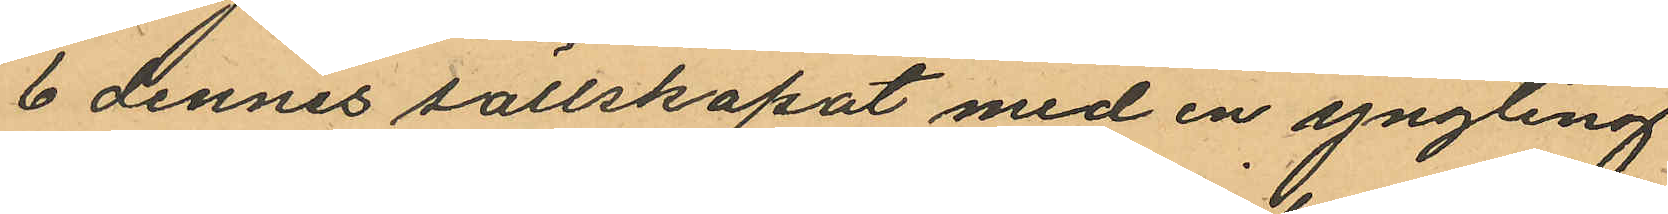6 dennes sällskapat med en yngling
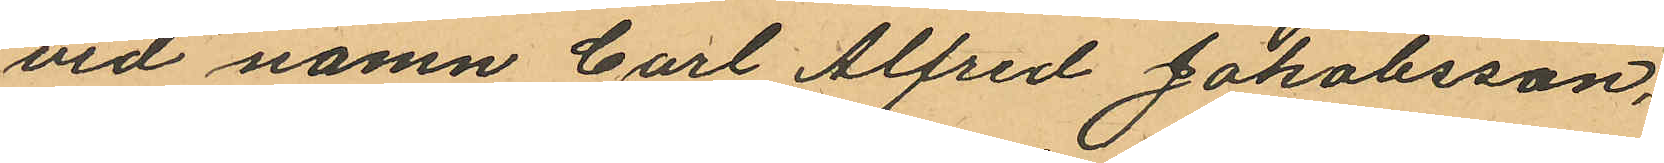vid namn Carl Alfred Jakobsson,
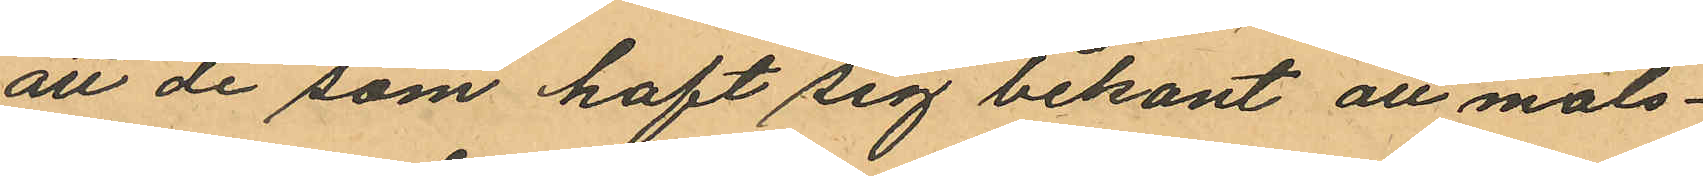att de som haft sig bekant att måls¬
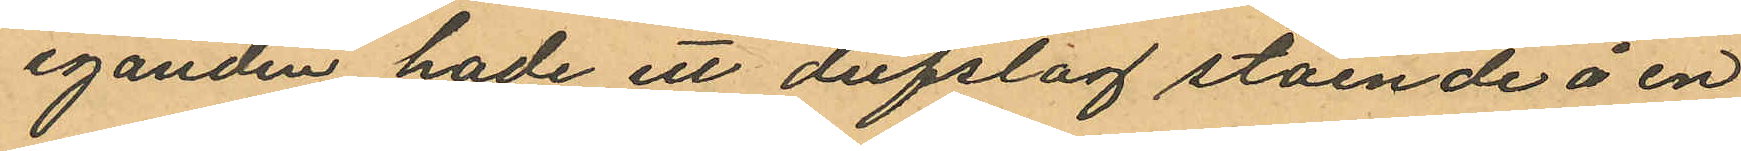eganden hade ett dufslag stående å en
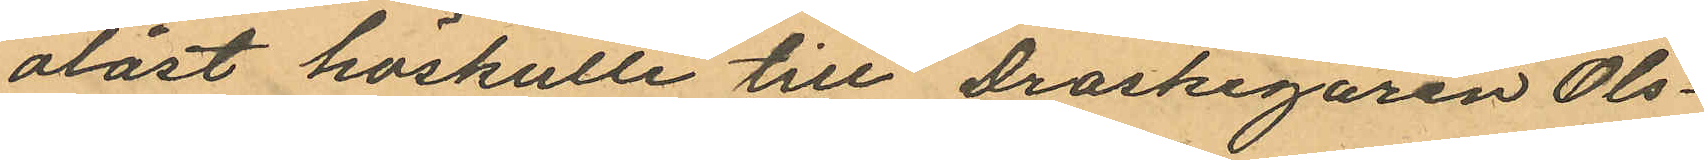olåst höskulle till Droskegaren Ols¬
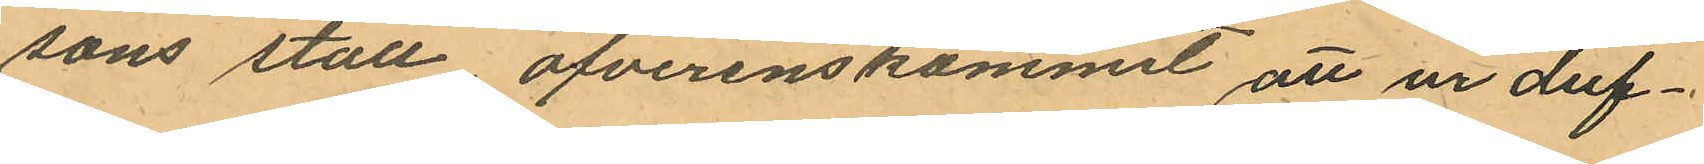sons stall öfverenskommit att ur duf¬
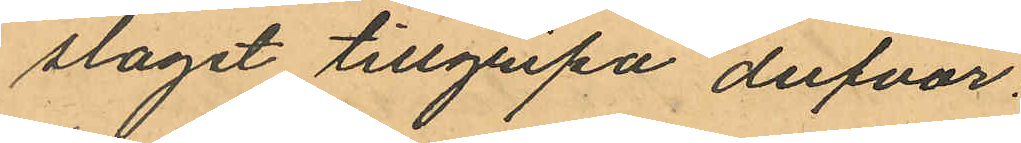slaget tillgripa dufvor:
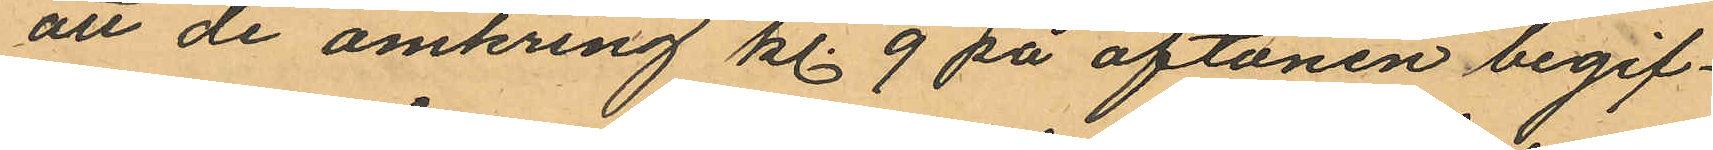att de omkring kl. 9 på aftonen begif¬
